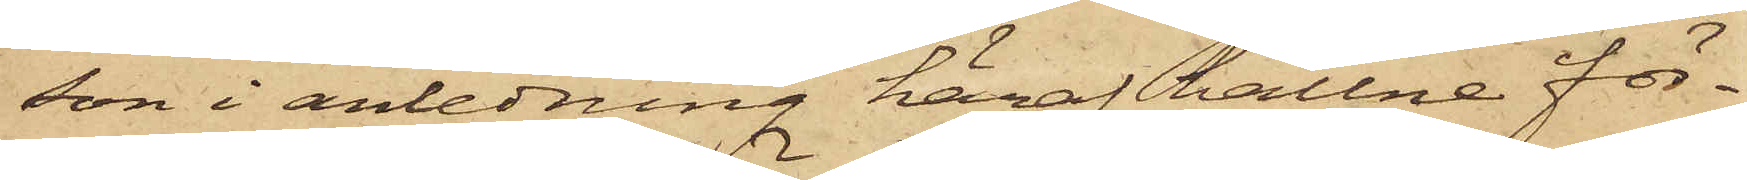son i anledning häraf hållne för¬
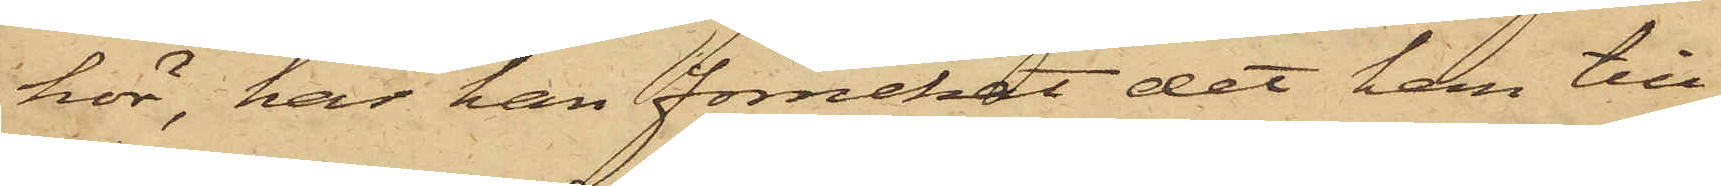hör, har han förnekat det han till¬
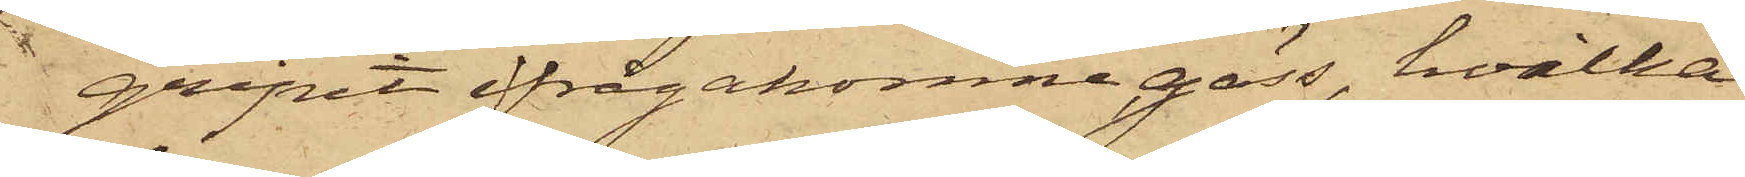gripit ifrågakomne gäss, hvilka
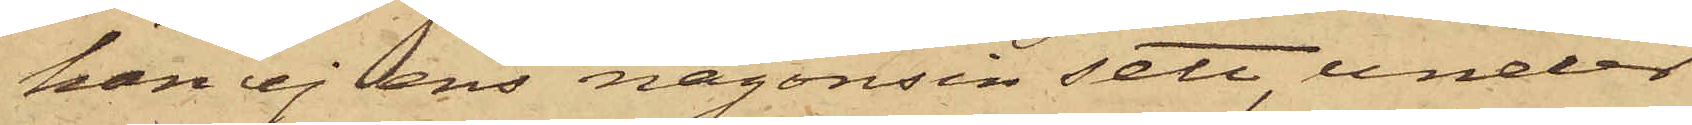han ej ens någonsin sett, under
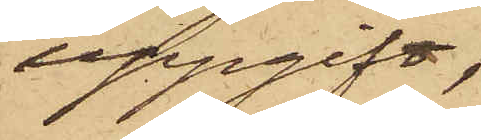uppgift,
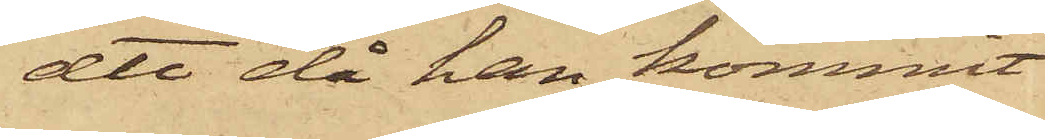att då han kommit
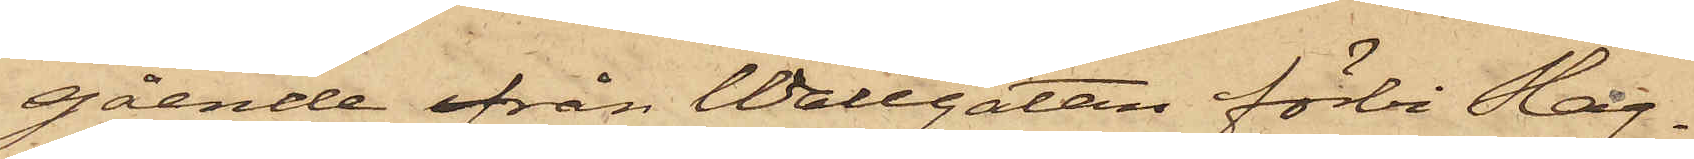gående från Wallgatan förbi Slag¬
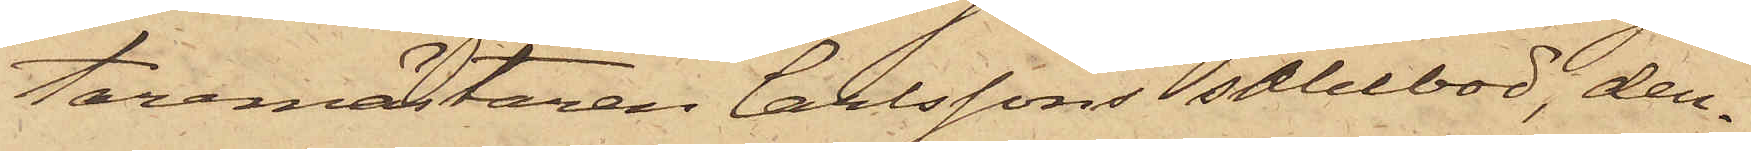taremästaren Carlssons salubod, den¬
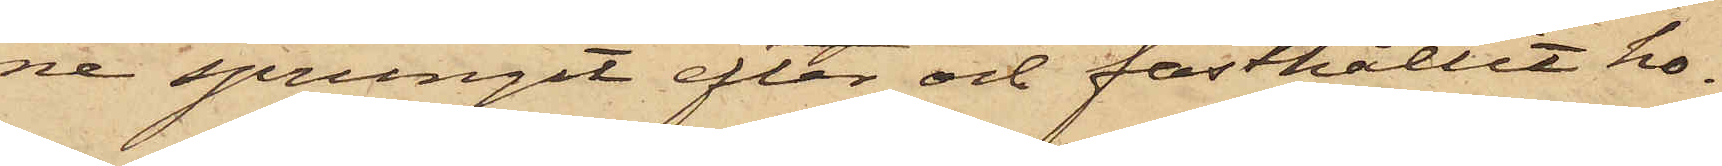ne sprungit efter och fasthållit ho¬
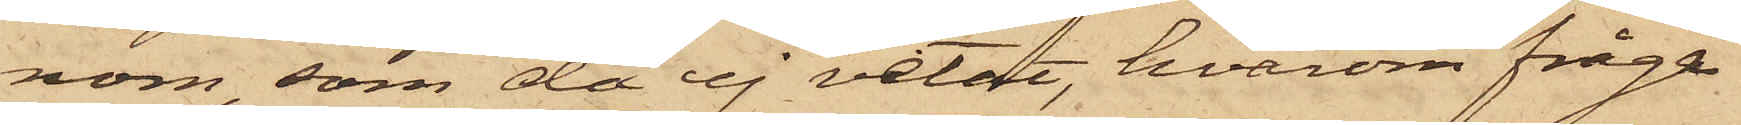nom, som då ej vetat, hvarom fråga
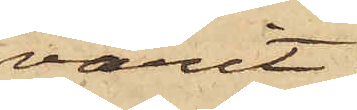varit.
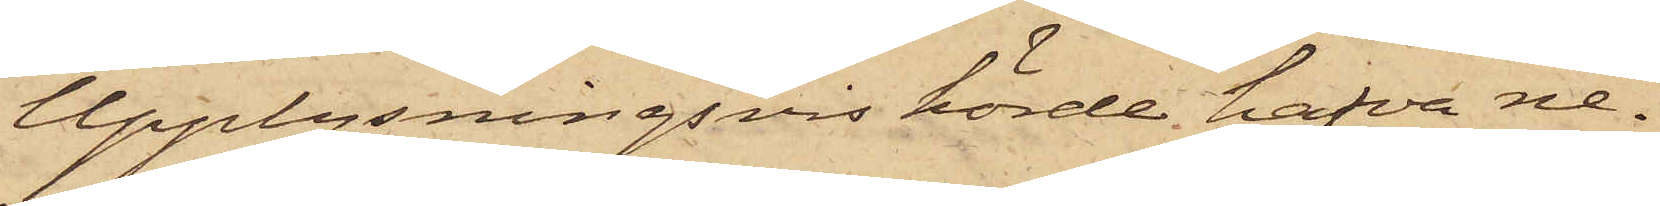Upplysningsvis hörde hafva ne¬
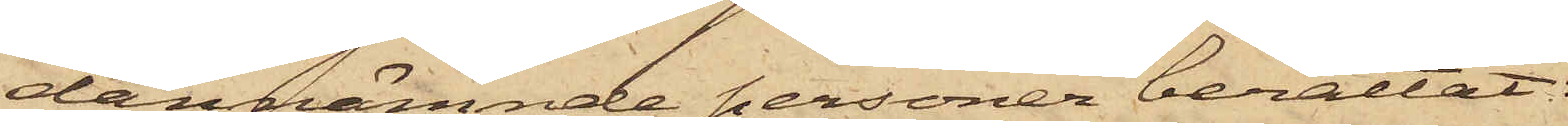dannämnde personer berättat:
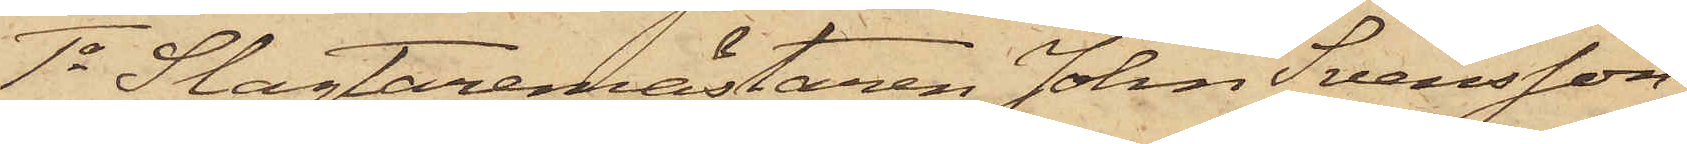1o Slagtaremästaren John Svensson,
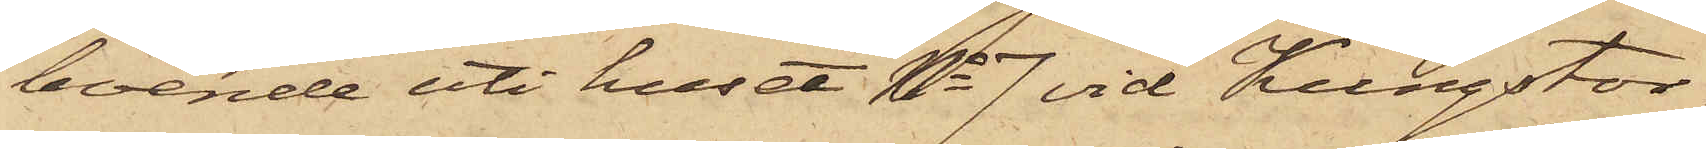boende uti huset No 7 vid Kungstor¬
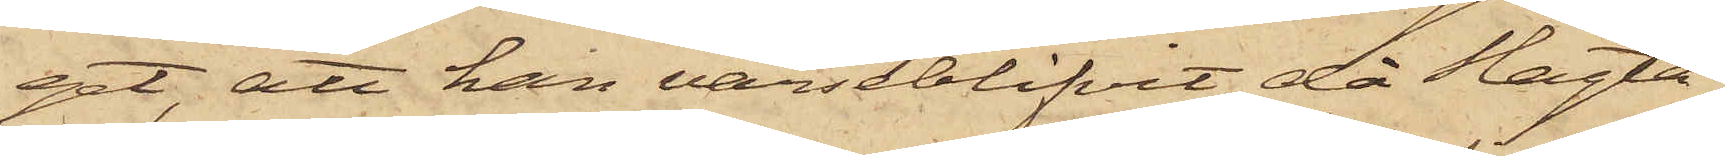get, att han varseblifvit, då Slagta¬
